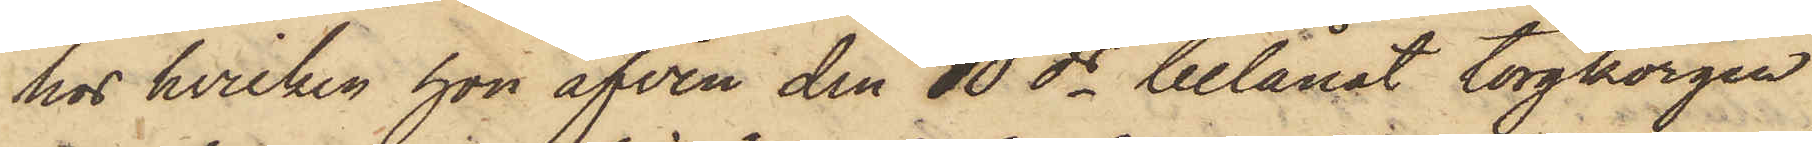hos hvilken hon äfven den 10 ds belånat torgkorgen
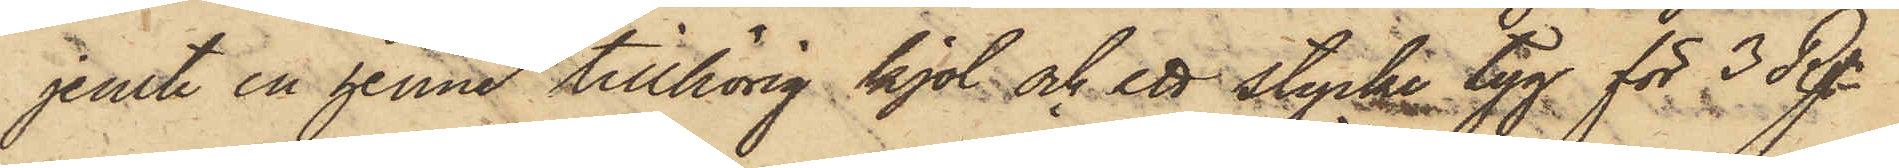jemte en henne tillhörig kjol och ett stycke tyg för 3 Rgr
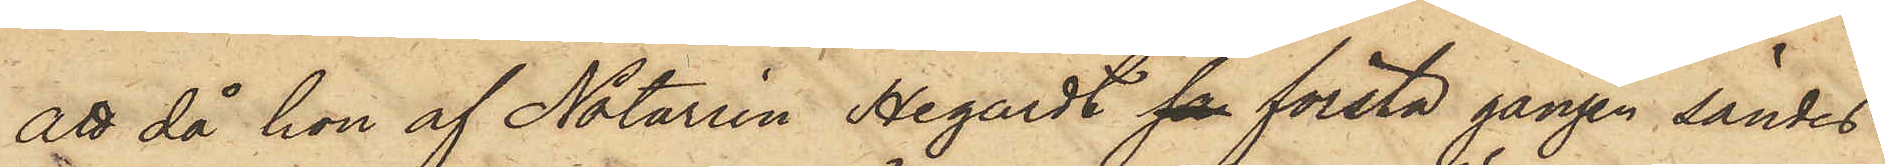att då hon af Notarien Hegardt sa första gången sändes
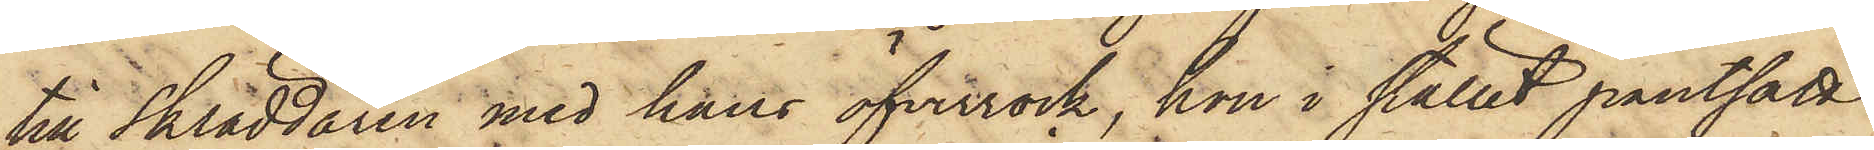till Skräddaren med hans öfverrock, hon i stället pantsatt
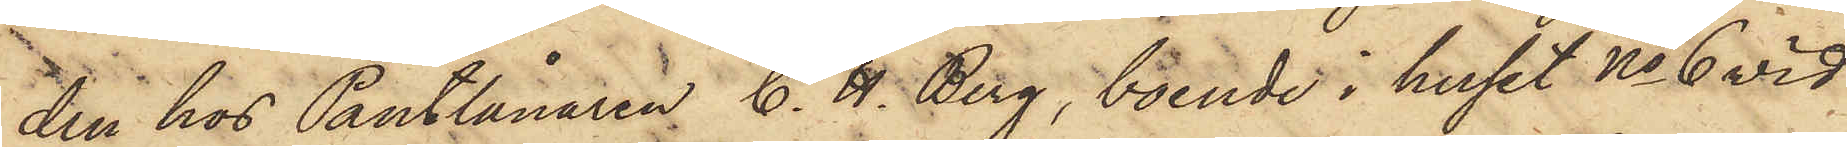den hos Pantlånaren C. H. Berg, boende i huset No 6 vid
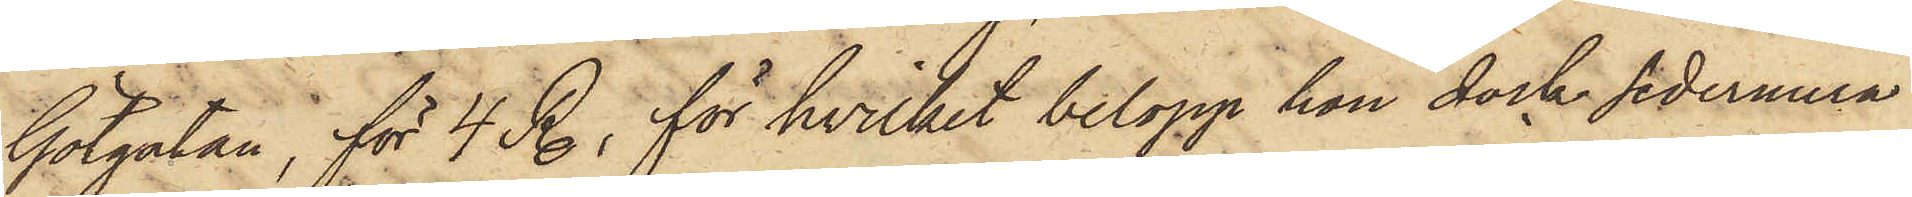Götgatan, för 4 R., för hvilket belopp han dock sedermera
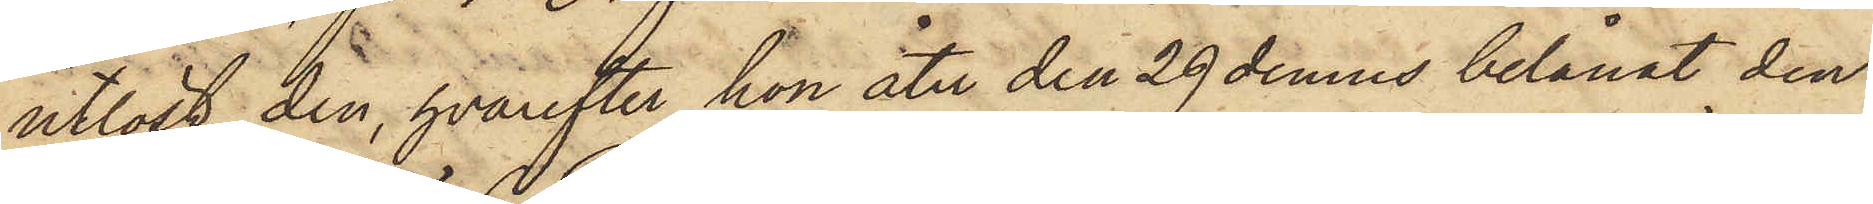utlöst den, hvarefter hon åter den 29 dennes belånat den
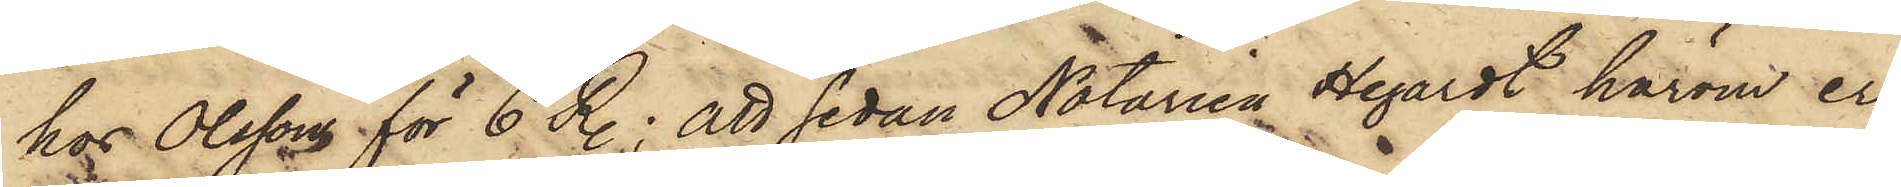hos Olssons för 6 R.; att sedan Notarien Hegardt härom er¬
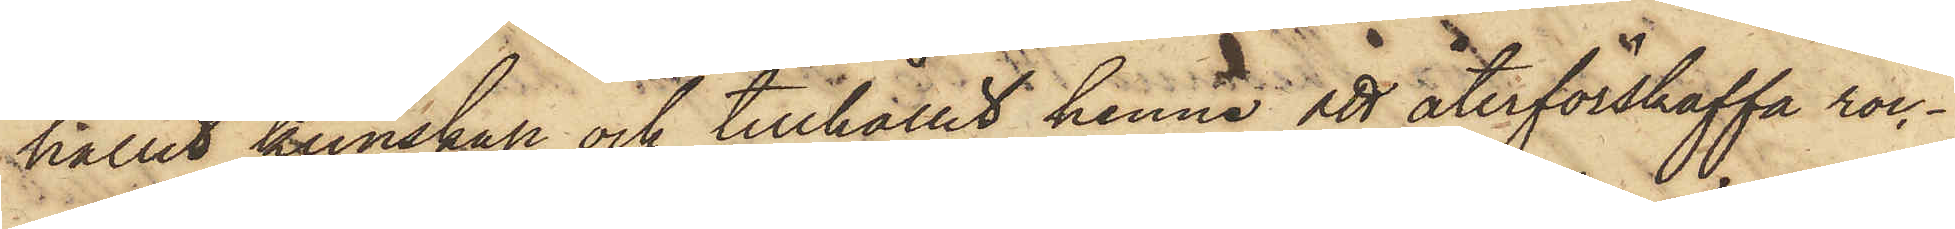hållit kunskap och tillhållit henne att återförskaffa roc¬
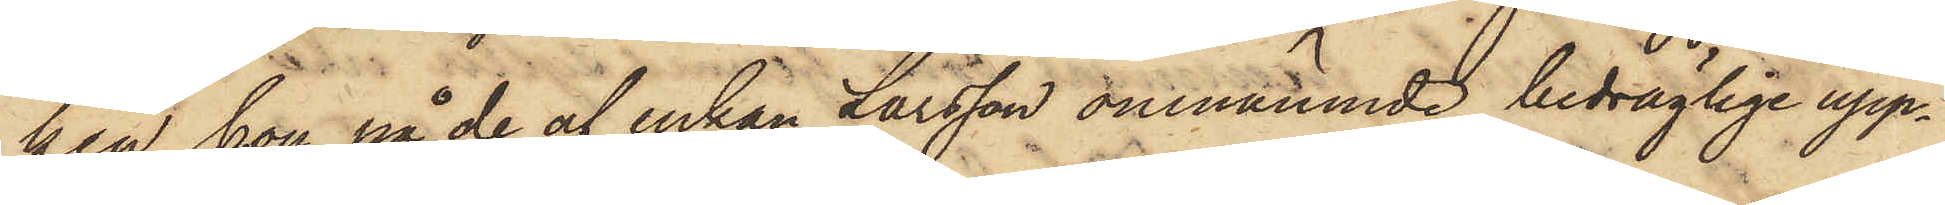ken, hon på de af enkan Larsson omnämnde bedräglige upp¬
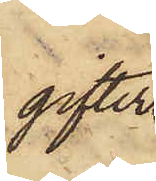gifter
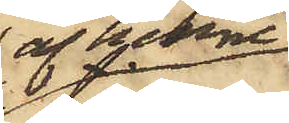af henne
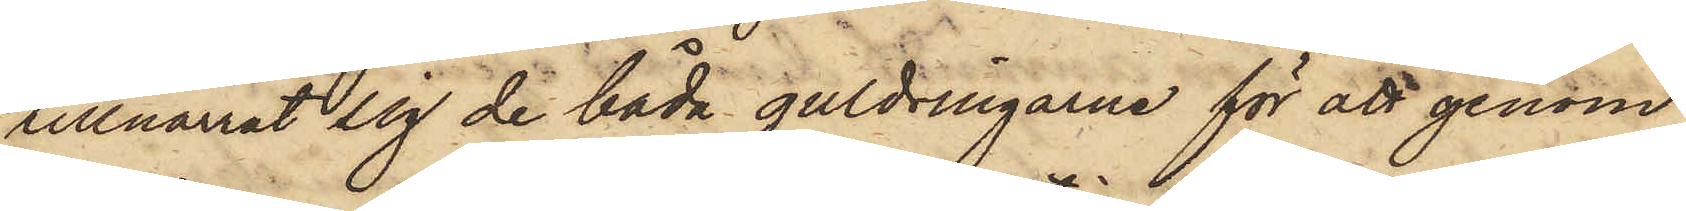tillnarrat sig de båda guldringarne för att genom
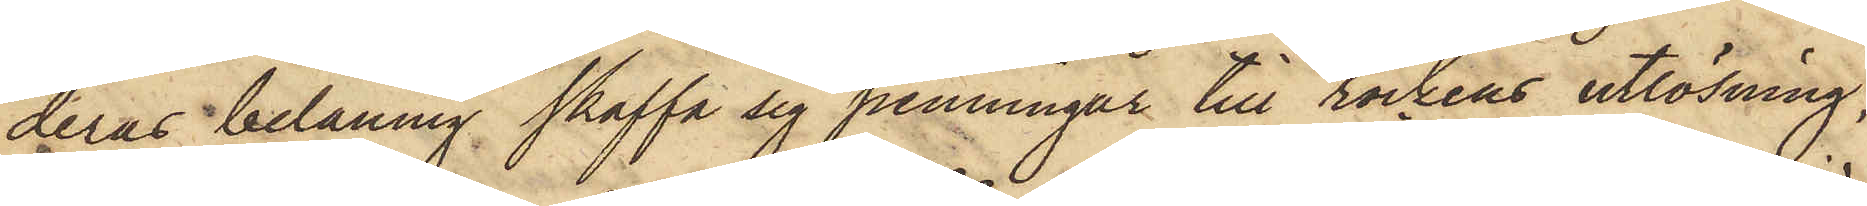deras belåning skaffa sig penningar till rockens utlösning,
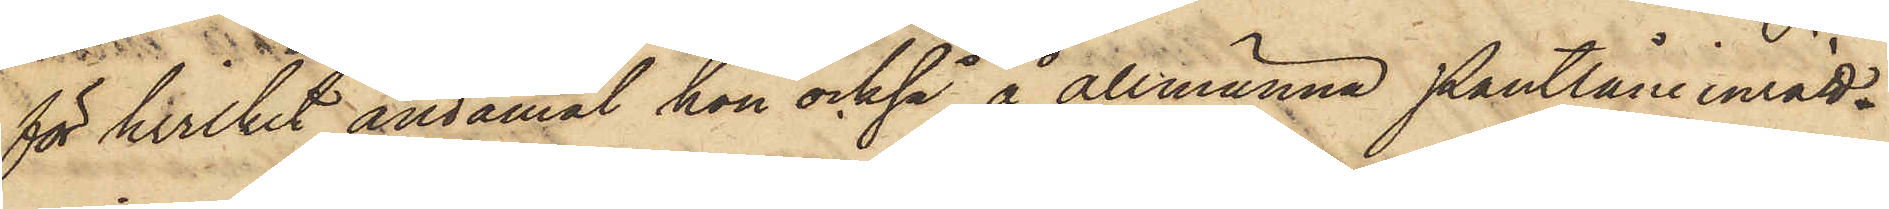för hvilket ändamål hon också å allmänna Pantlåne inrätt¬
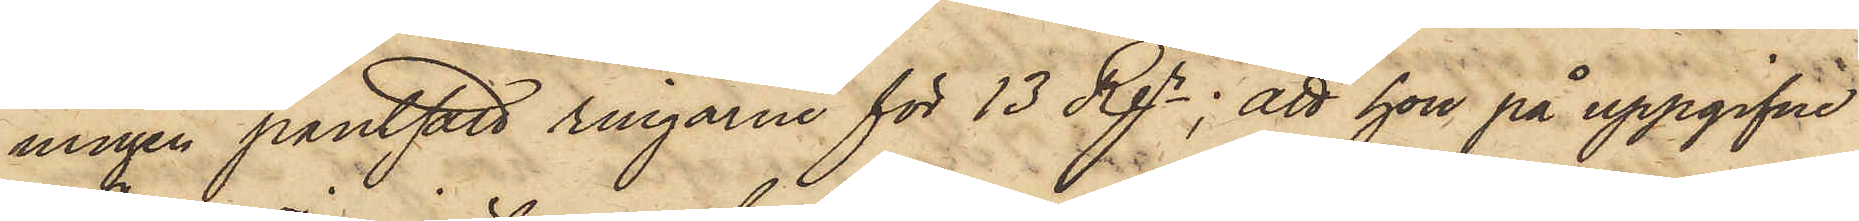ningen pantsatt ringarne för 13 Rgr; att hon på uppgifne
